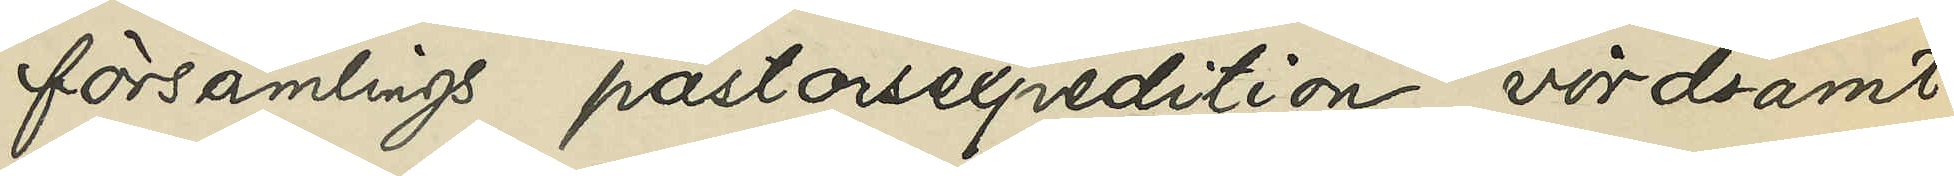församlings pastorsexpedition vördsamt
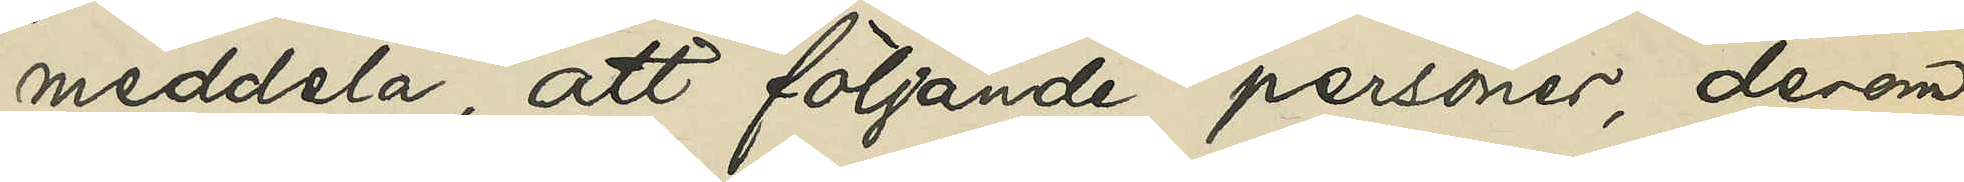meddela, att följande personer, derom
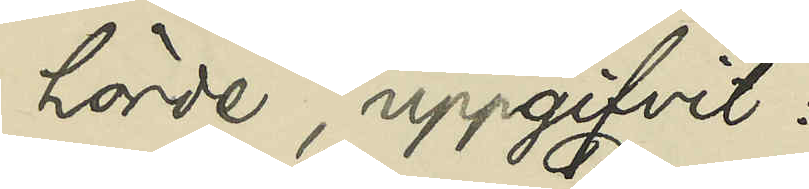hörde, uppgifvit:
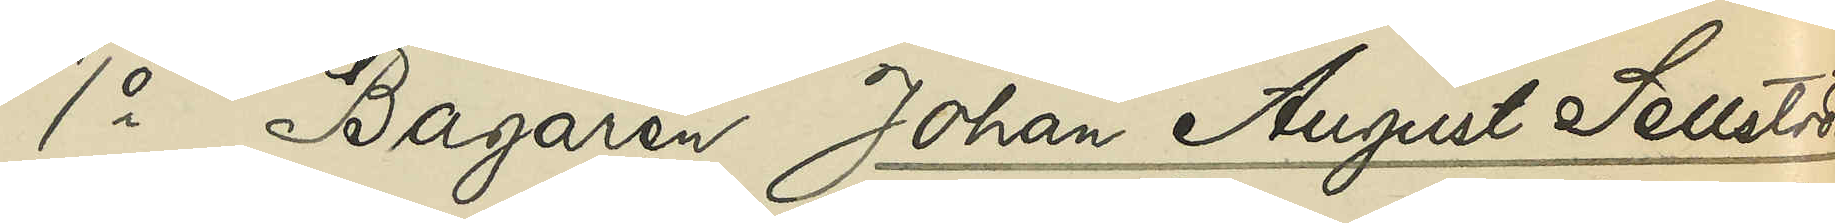1o Bagaren Johan August Sellström
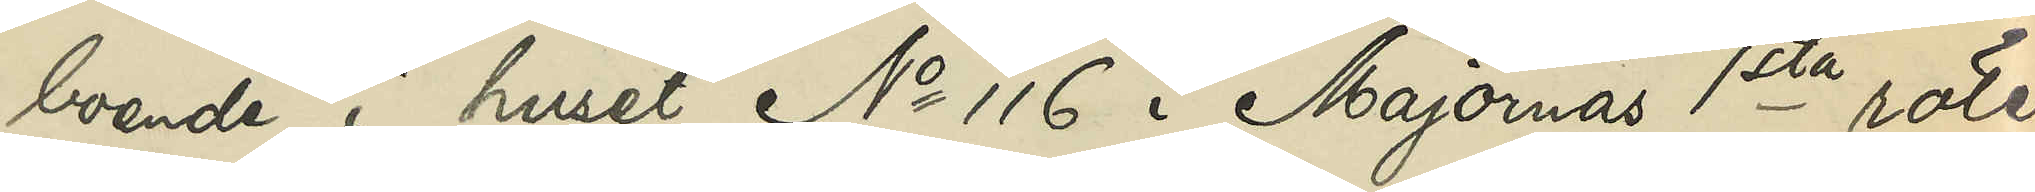boende i huset No 116 i Majornas 1sta rote:
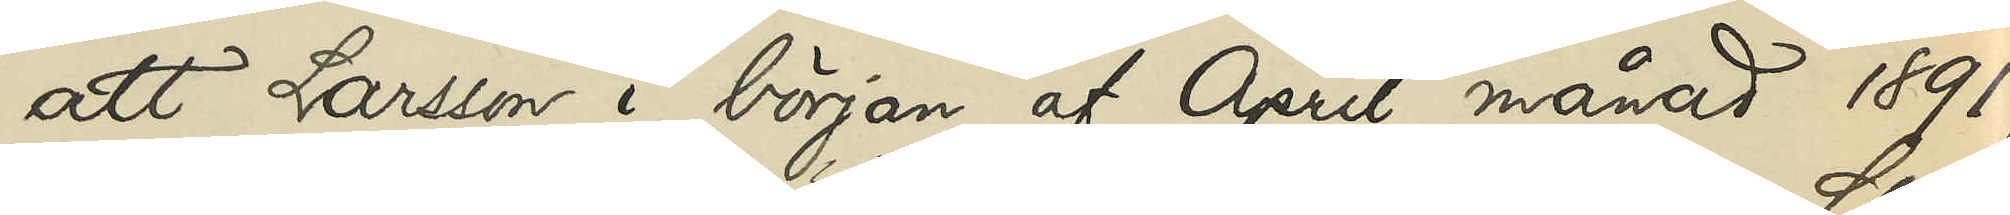att Larsson i början af April månad 1891,
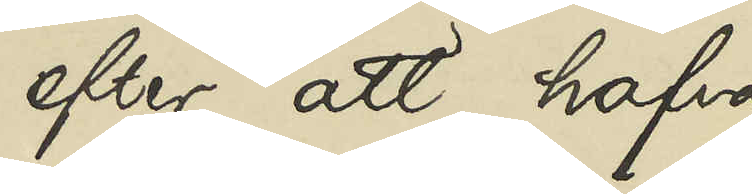efter att hafva
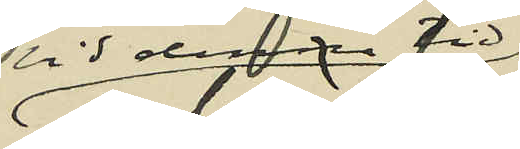vid samma tid
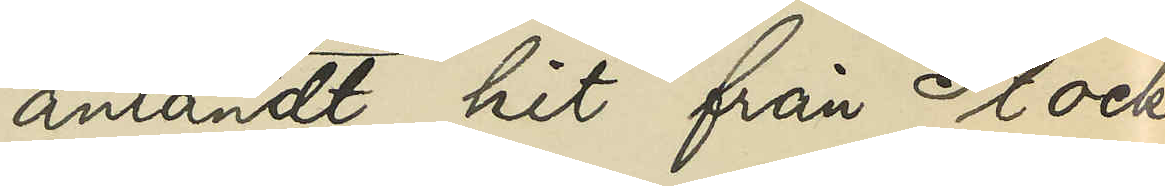anländt hit från Stock¬
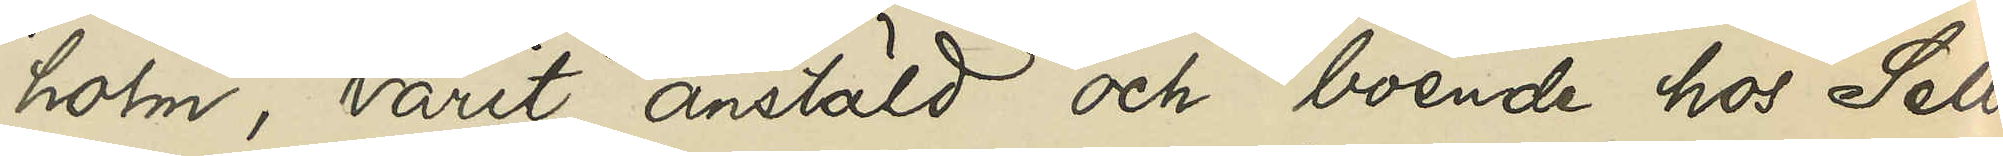holm, varit anstäld och boende hos Sell¬
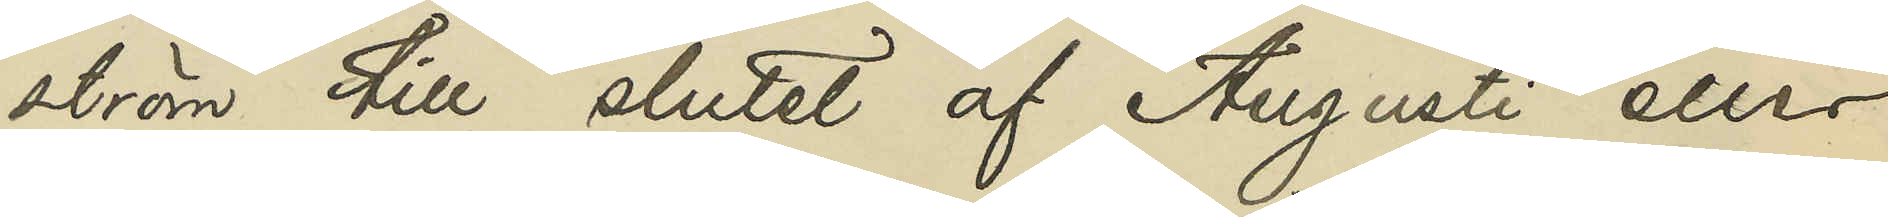ström till slutet af Augusti eller
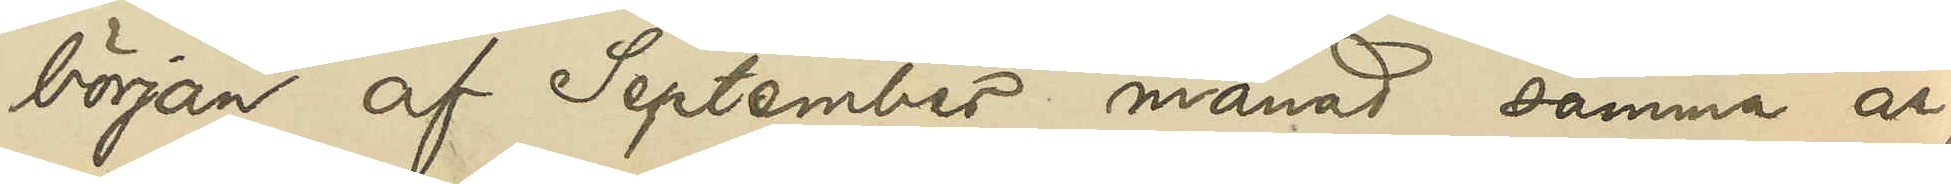början af September månad samma år,
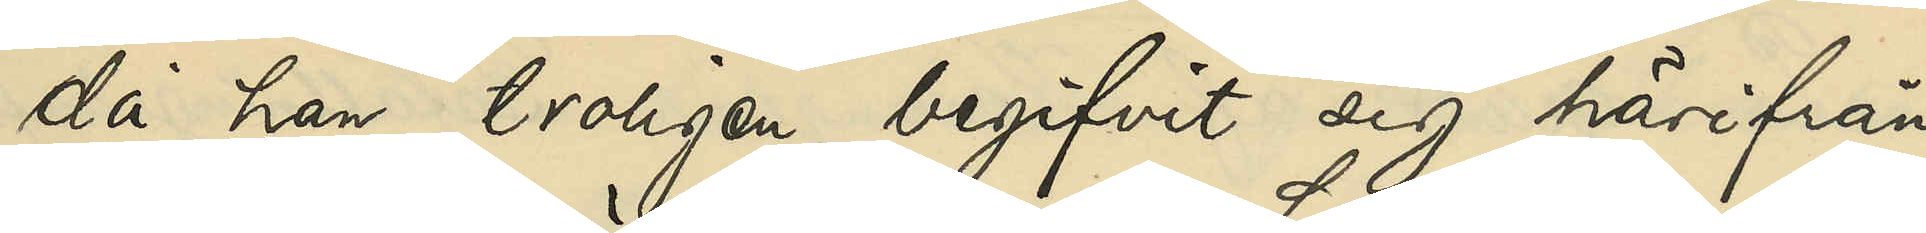då han troligen begifvit sig härifrån
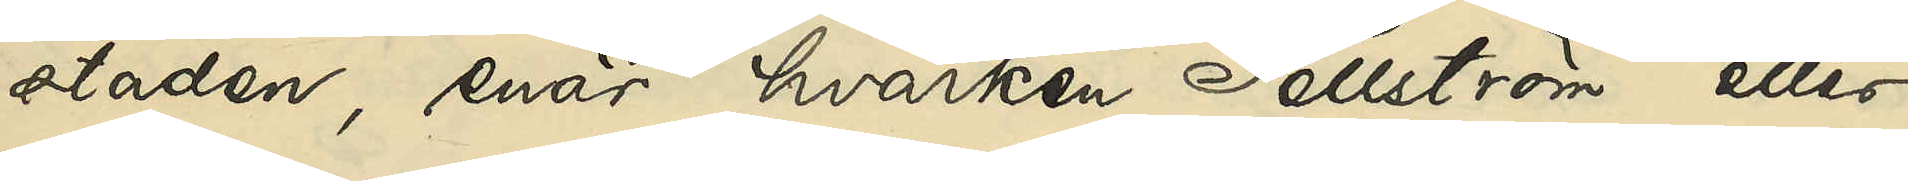staden, enär hvarken Sellström eller
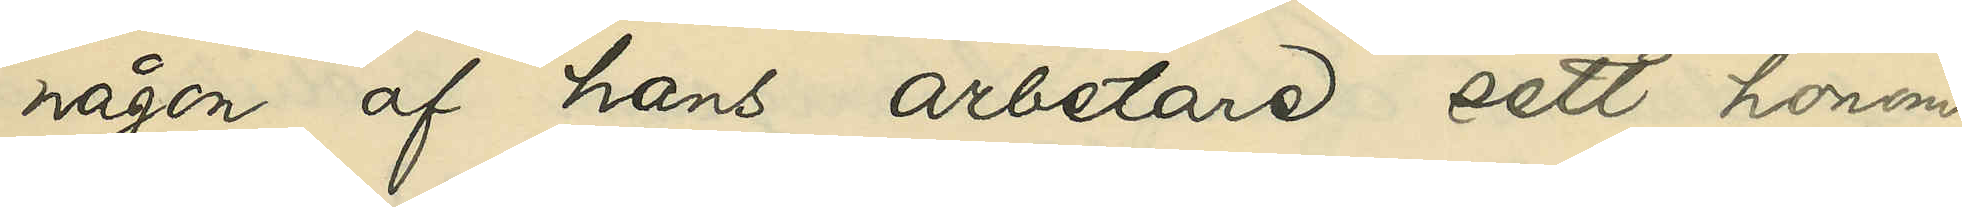någon af hans arbetare sett honom
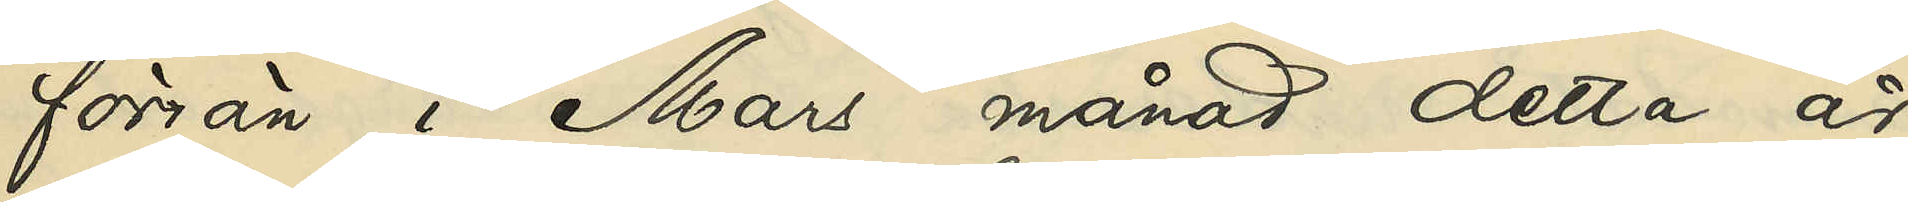förrän i Mars månad detta år
